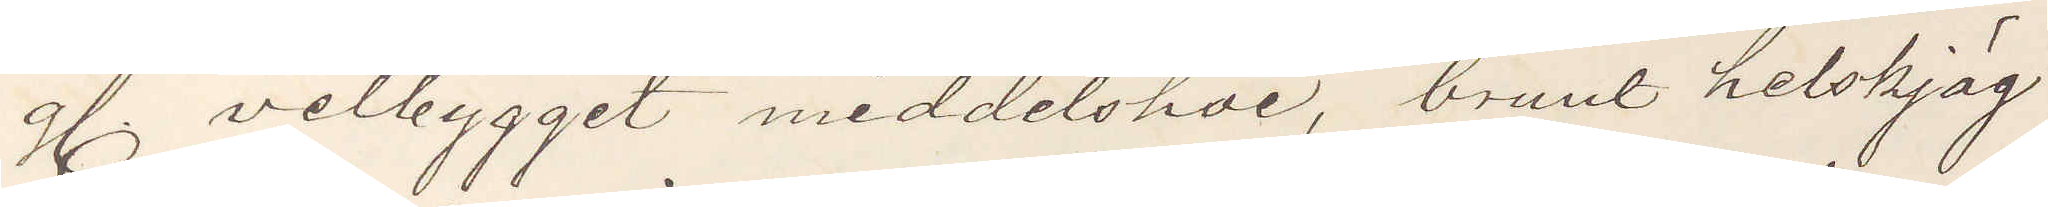g. velbygget meddelshöi, brunt helskjäg
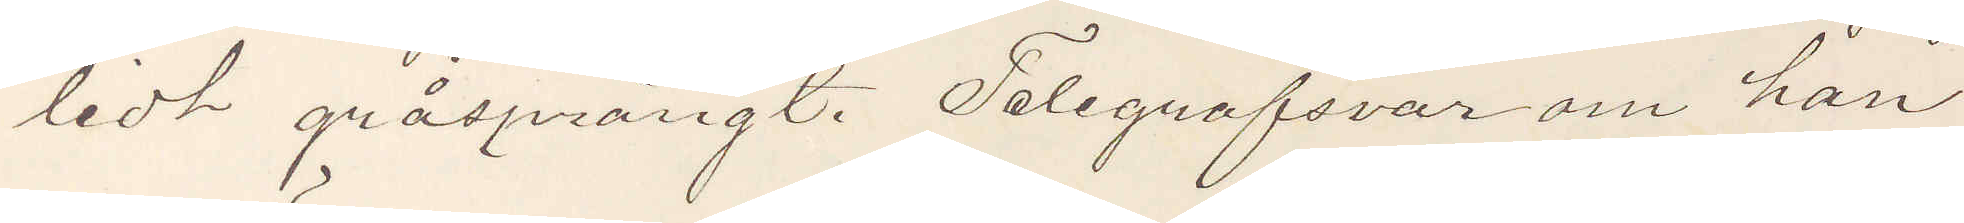ledt gråsprängt. Telegrafsvar om han
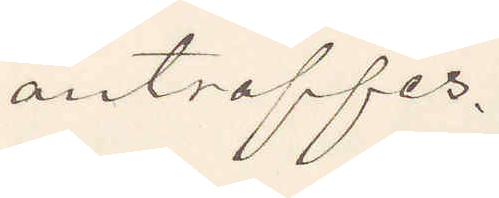anträffes.
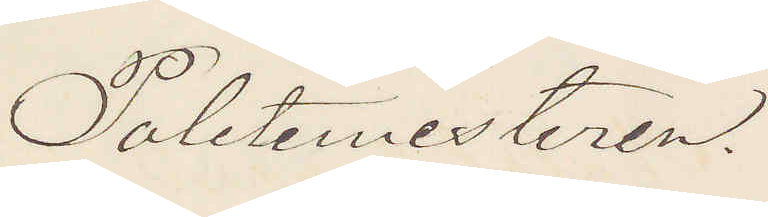Poletimesteren.
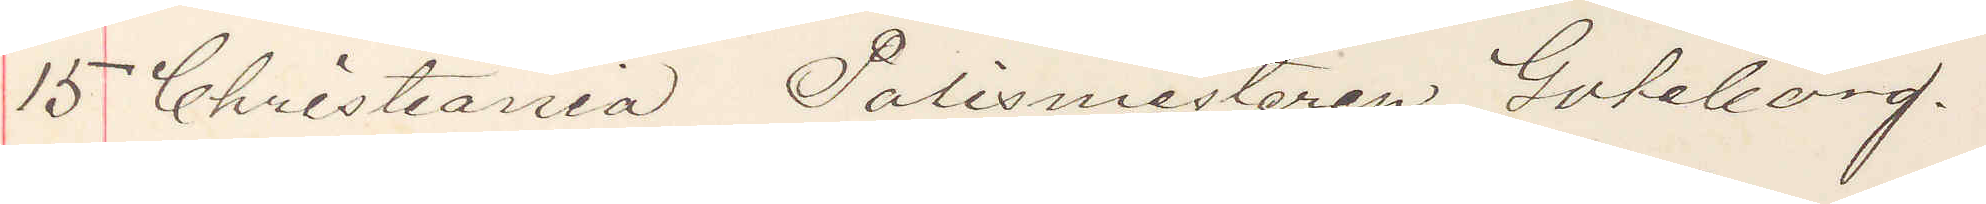15 Christiania Polismestaren Göteborg.
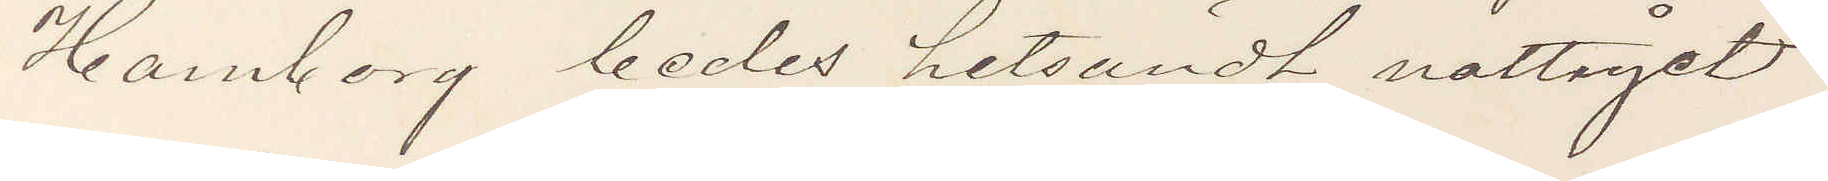Hamborg bedes hitsändt nattåget
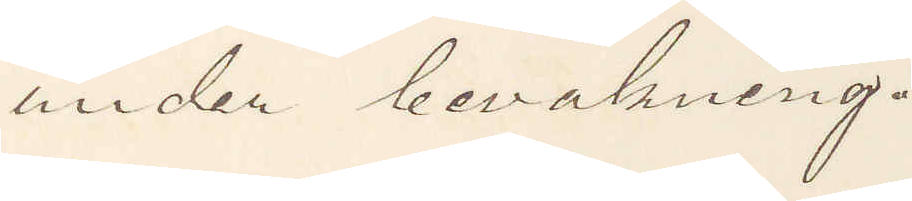under bevakning.
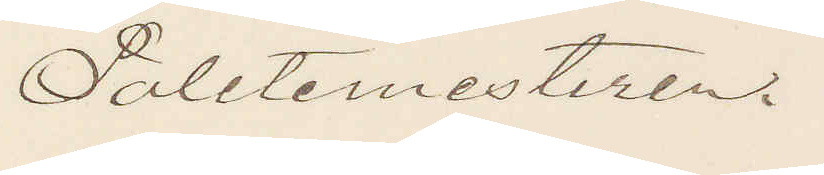Poletimesteren.
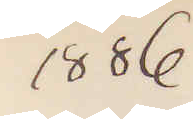1886
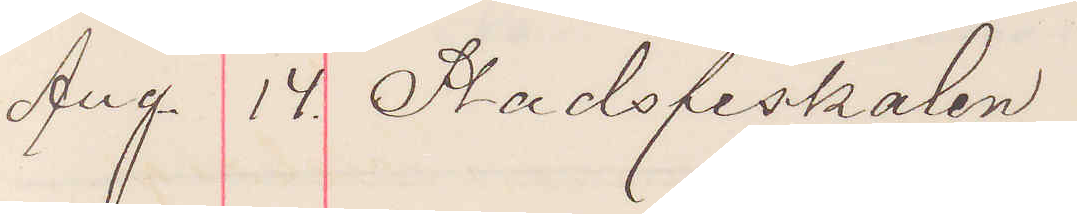Aug. 14 Stadsfiskalen
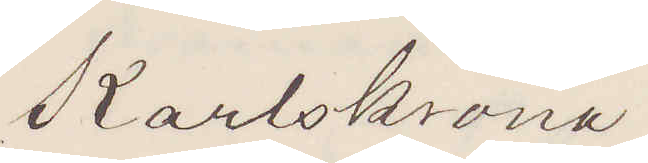 Karlskrona
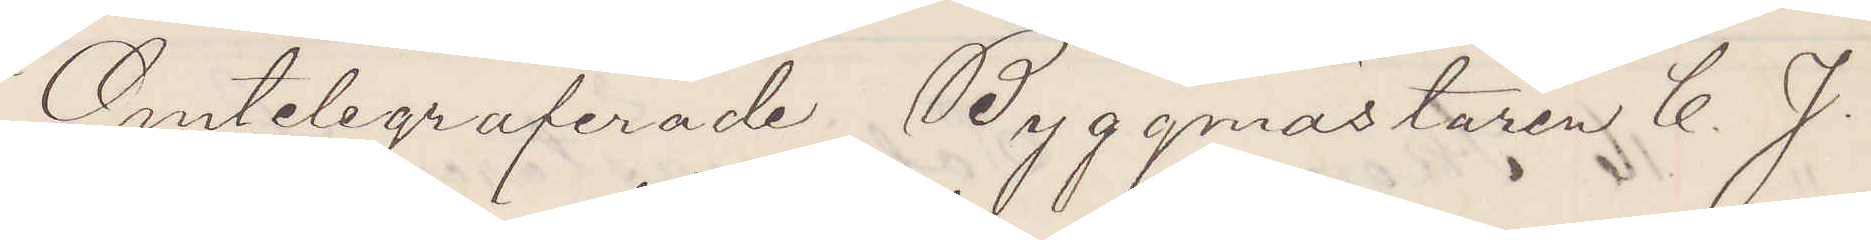Omtelegraferade Byggmästaren C. J.
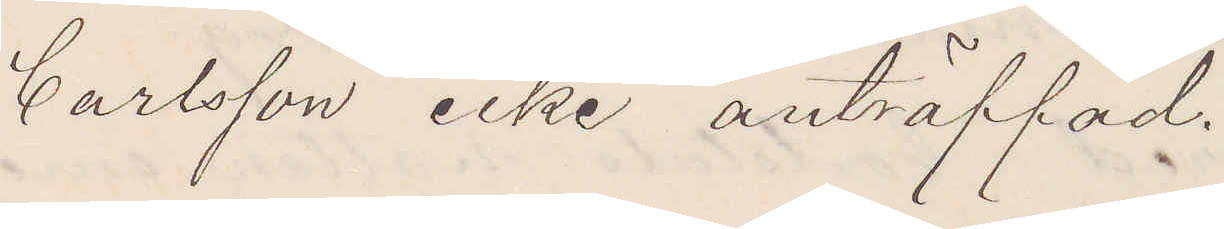Carlsson icke anträffad.
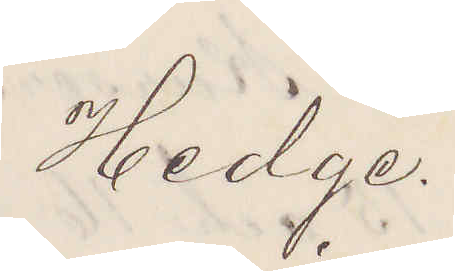Hedge
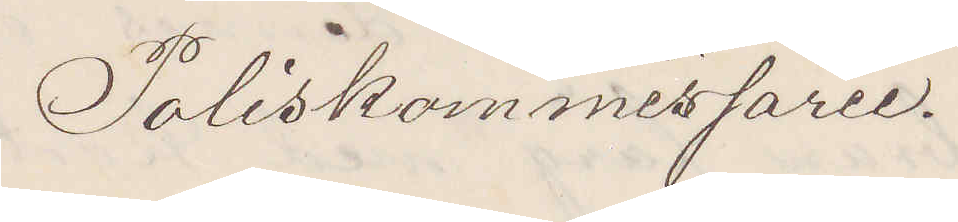Poliskommessarie.
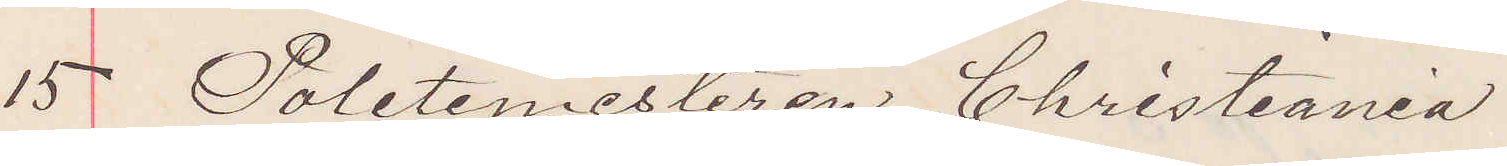15 Poletimesteren Christiania
